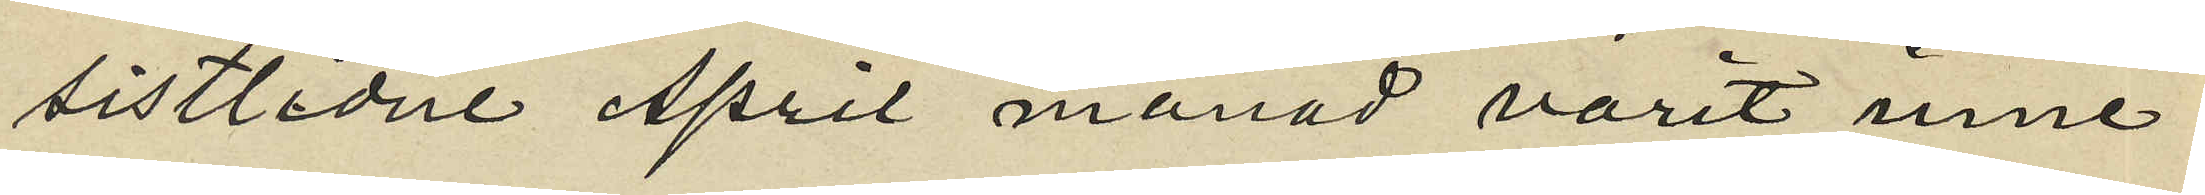sistlidne April månad varit inne¬
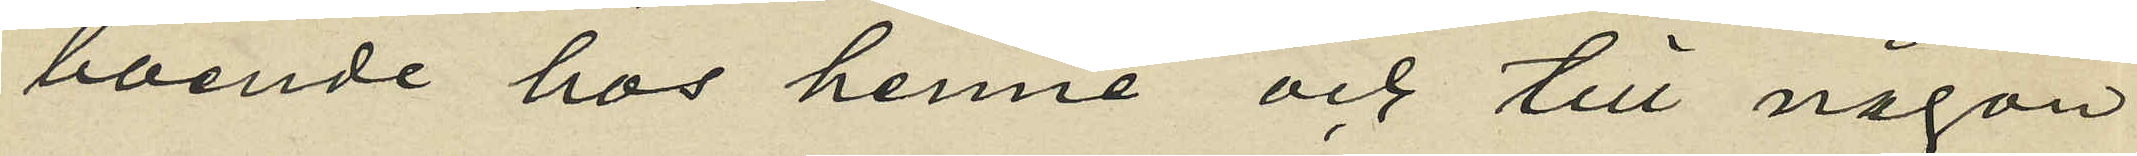boende hos henne och till någon
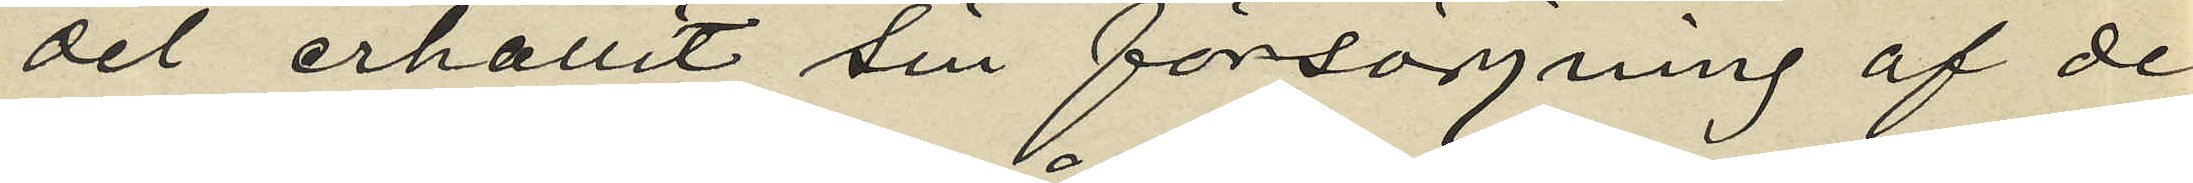del erhållit sin försörjning af de
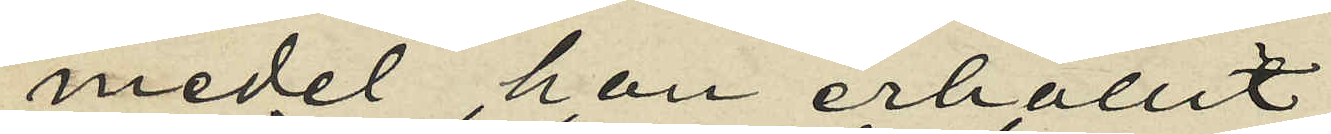medel han erhållit
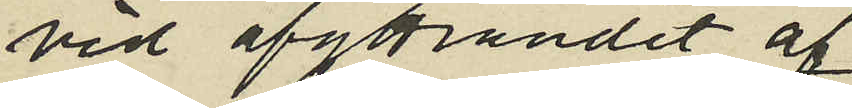vid afyttrandet af
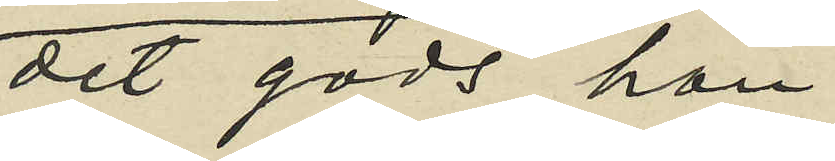det gods hon
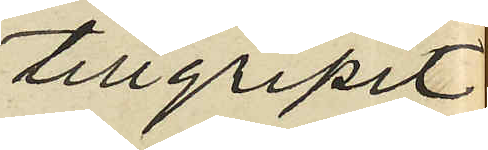tillgripit
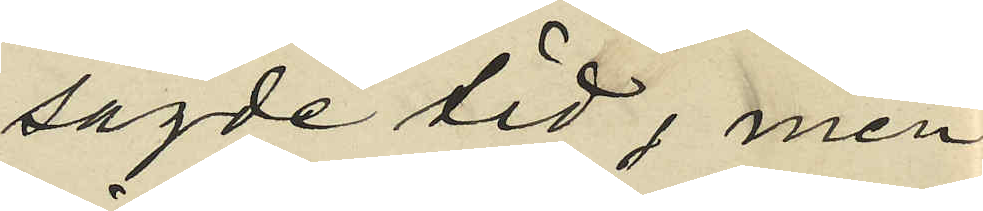sagde tid, men
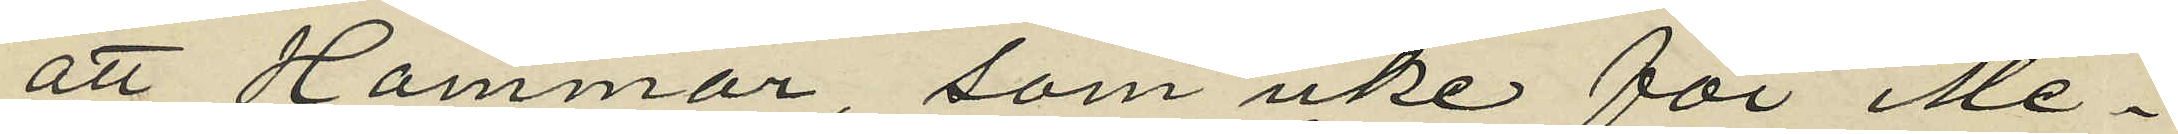att Hammar som icke för Me¬
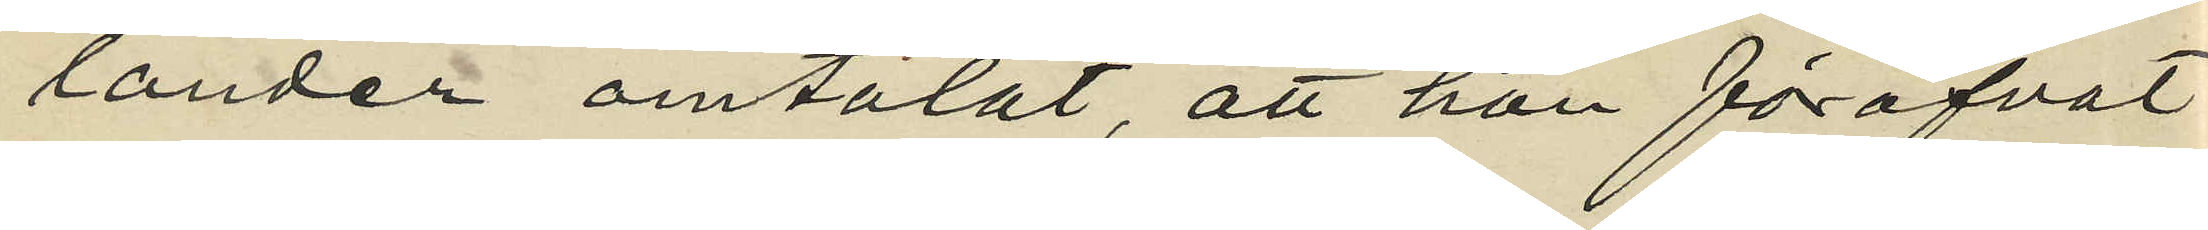lander omtalat, att hon föröfvat
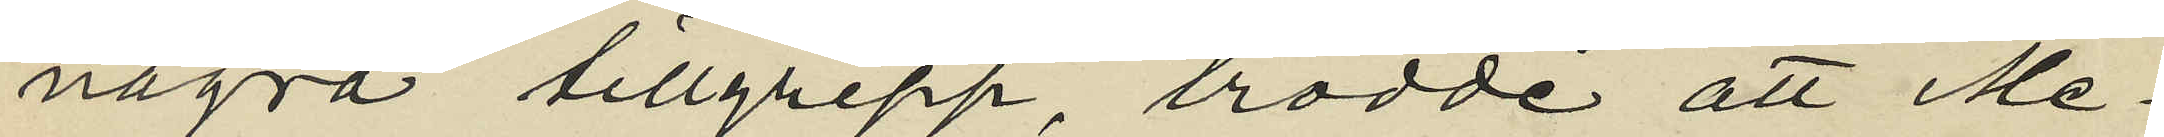några tillgrepp, trodde att Me¬
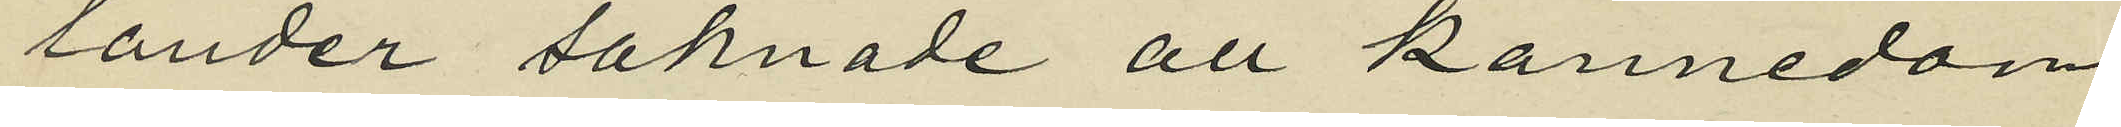lander saknade all kännedom
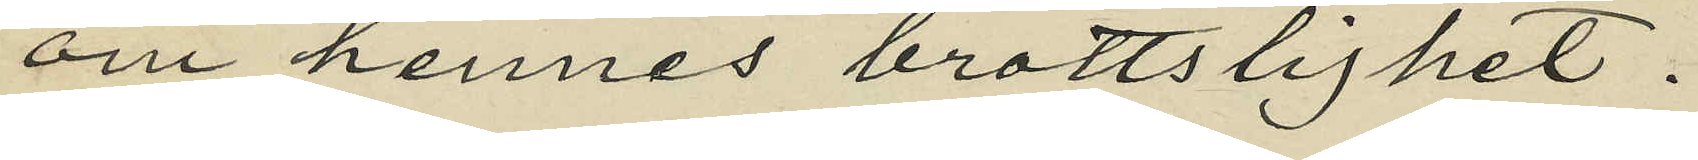om hennes brottslighet.
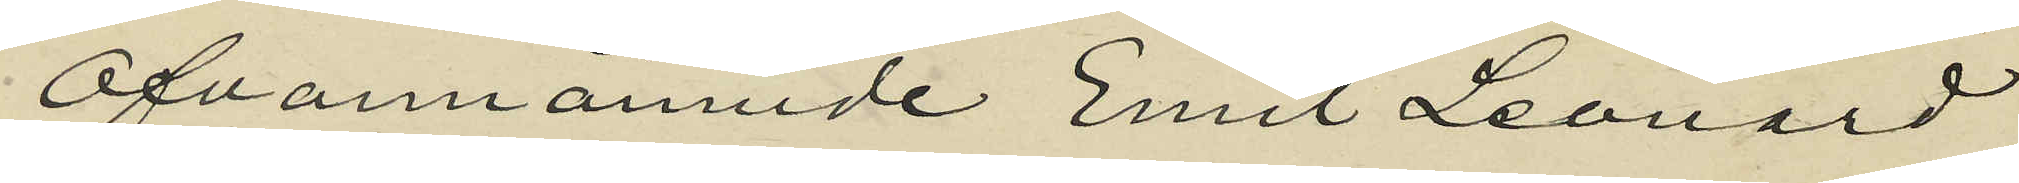Ofvannämnde Emil Leonard
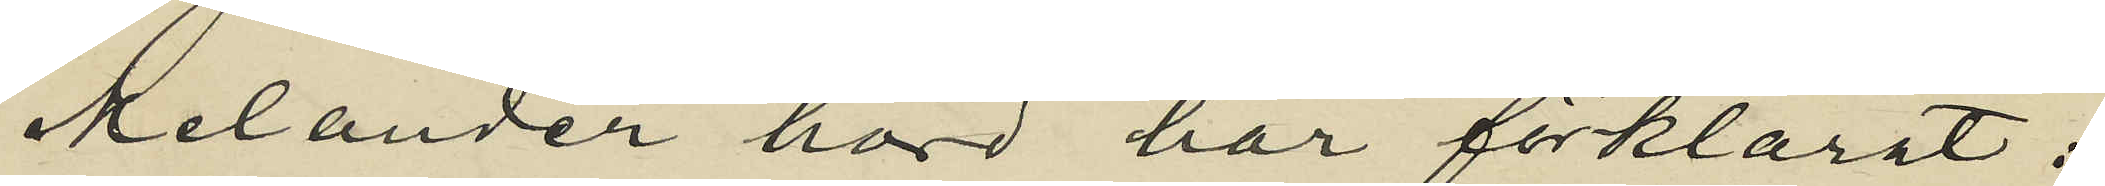Melander hörd har förklarat:
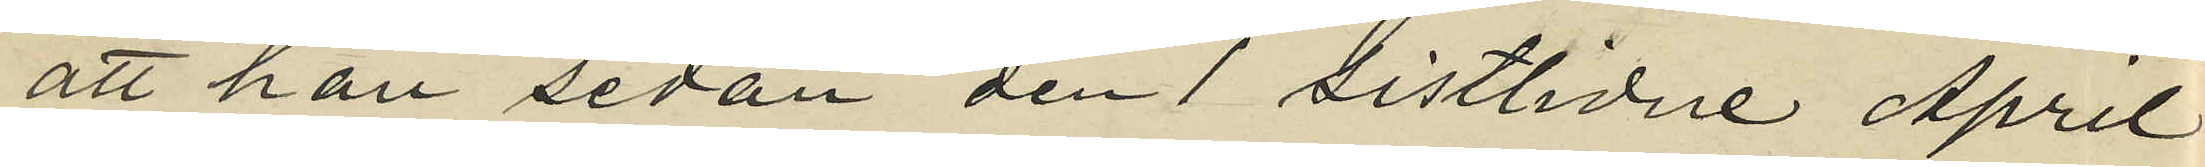att han sedan den 1 sistlidne April
